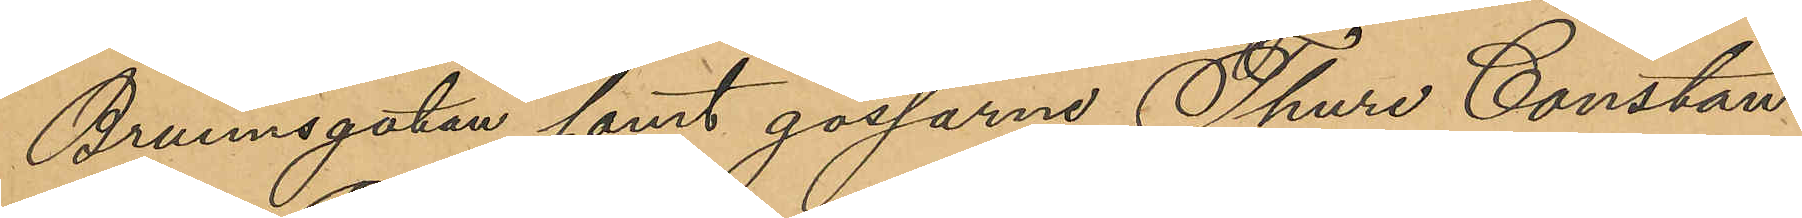Brunnsgatan samt gossarna Thure Constan¬
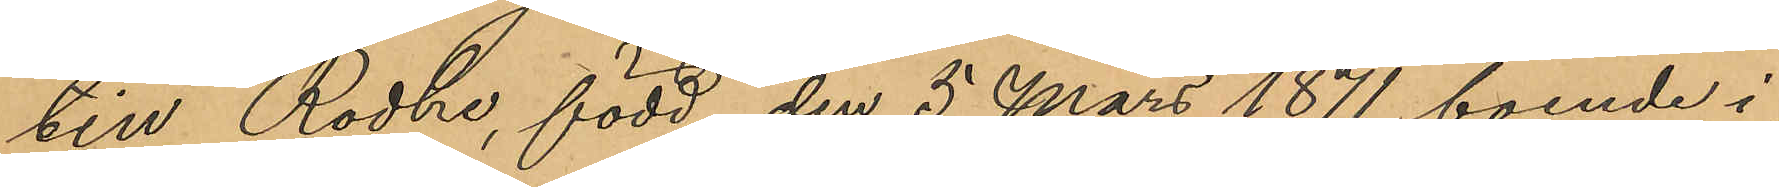tin Rodhe, född den 5 Mars 1871, boende i
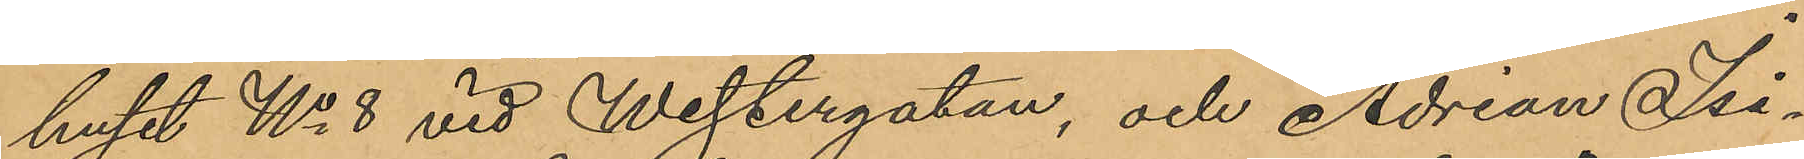huset No 8 vid Westergatan, och Adrian Isi¬
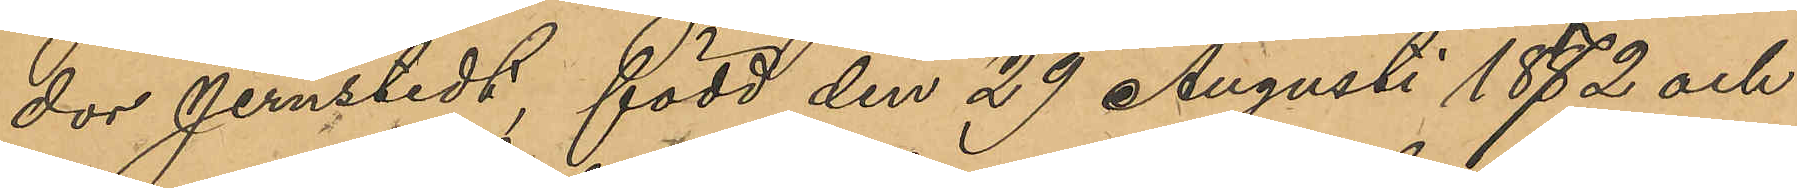dor Jernstedt, född den 29 Augusti 1872 och
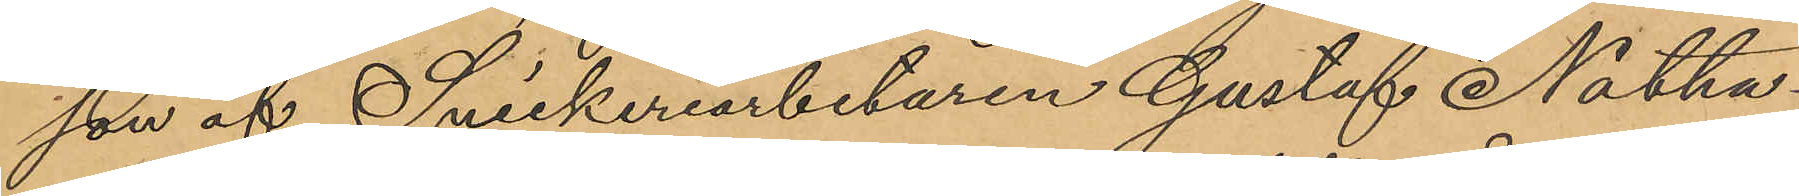son af Snickeriarbetaren Gustaf Natha¬
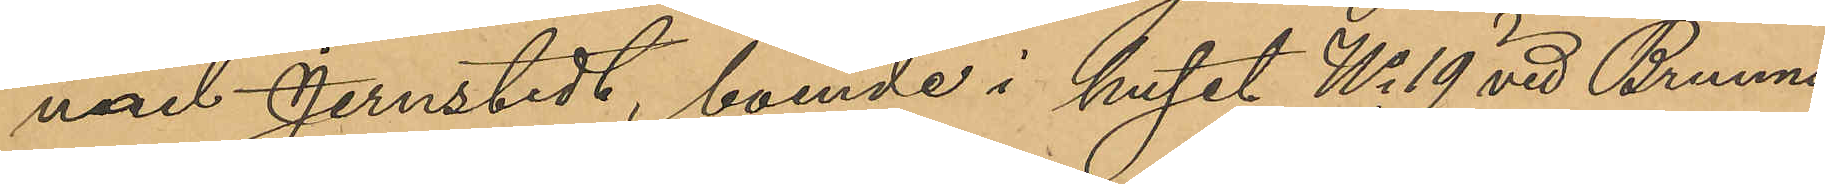nael Jernstedt, boende i huset No 19 vid Brunns¬
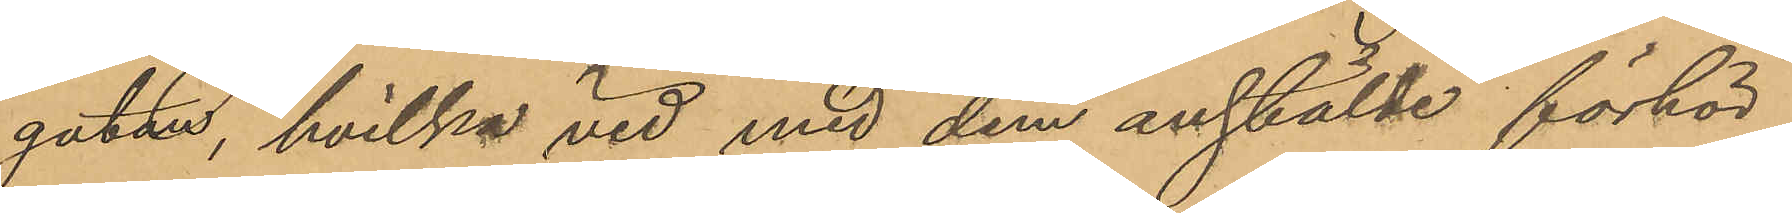gatan, hvilka vid med dem anstälde förhör
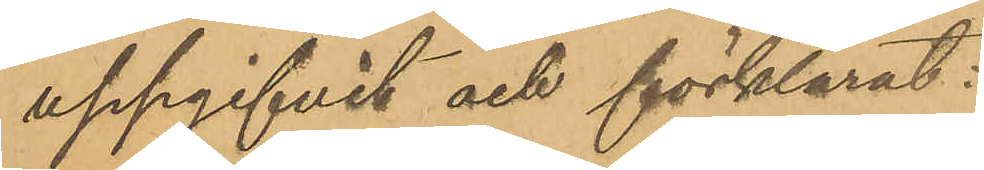uppgifvit och förklarat:
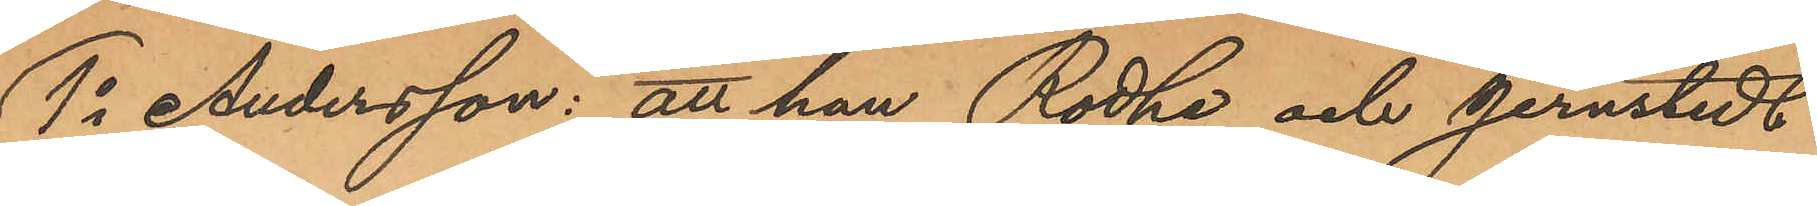1o Andersson: att han, Rodhe och Jernstedt
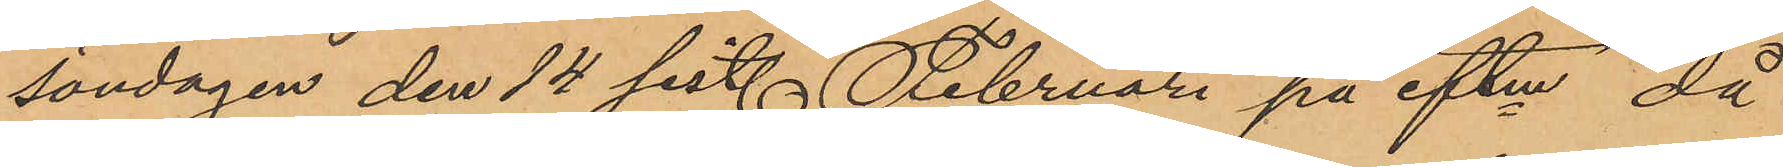söndagen den 14 sist. Februari på eftm, då
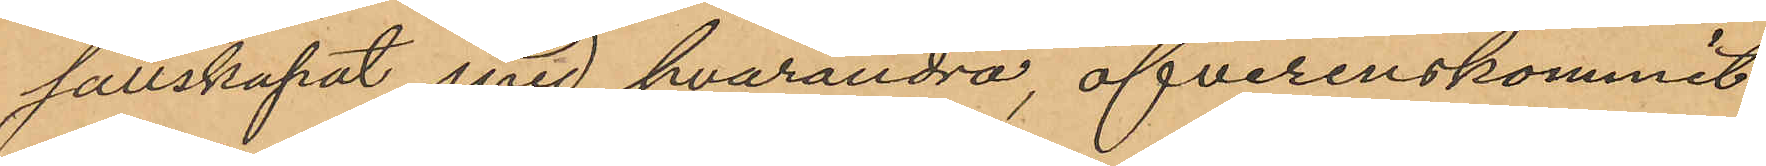sällskapat med hvarandra, öfverenskommit
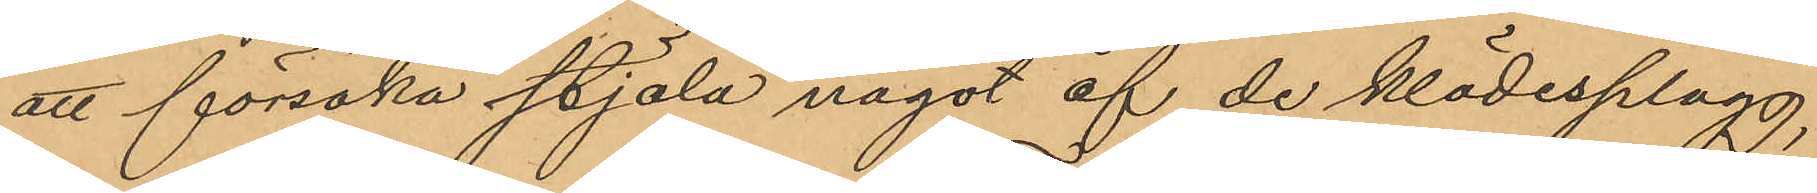att försöka stjäla något af de klädesplagg,
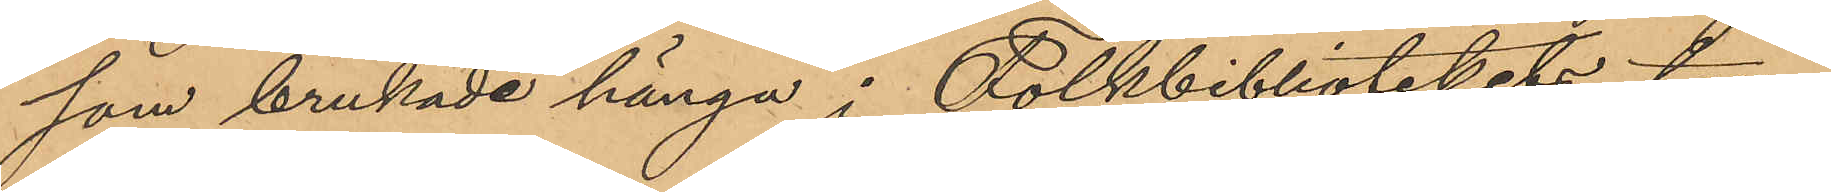som brukade hänga i Folkbibliotekets tam¬
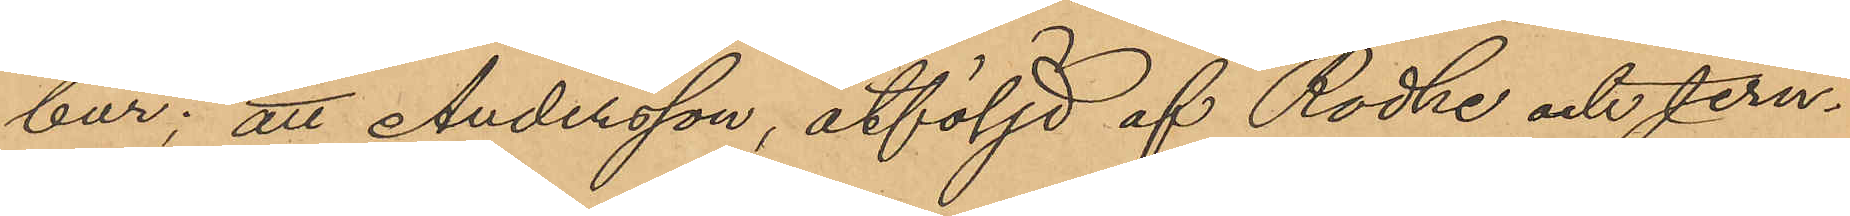bur; att Andersson, åtföljd af Rodhe och Jern¬
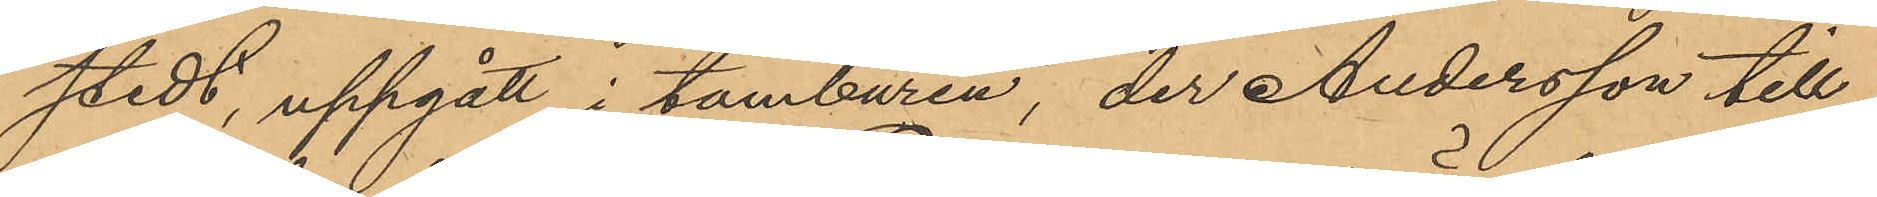stedt, uppgått i tamburen, der Andersson till¬
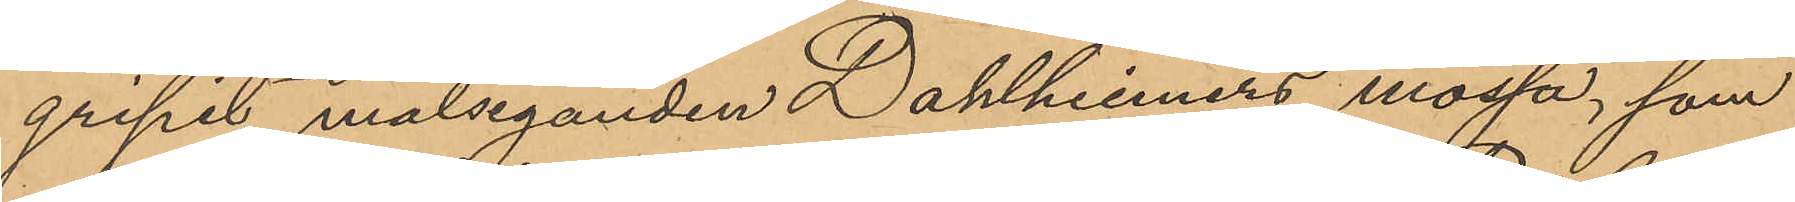gripit målseganden Dahlheimers mössa, som
